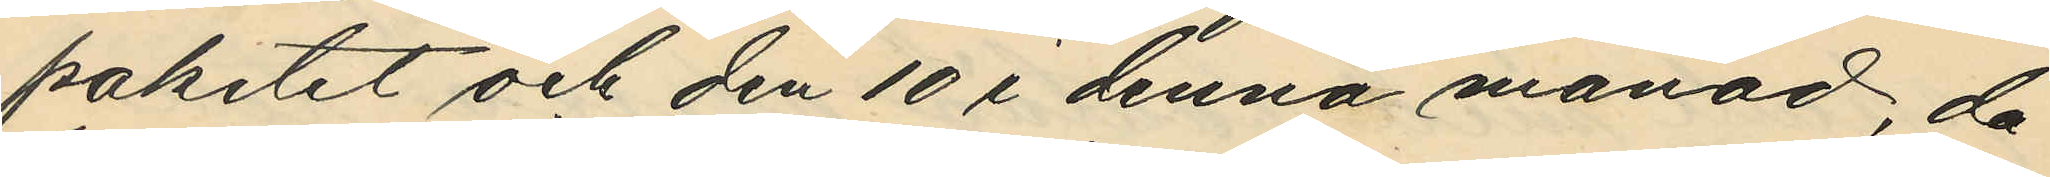paketet och den 10 i denna månad, då
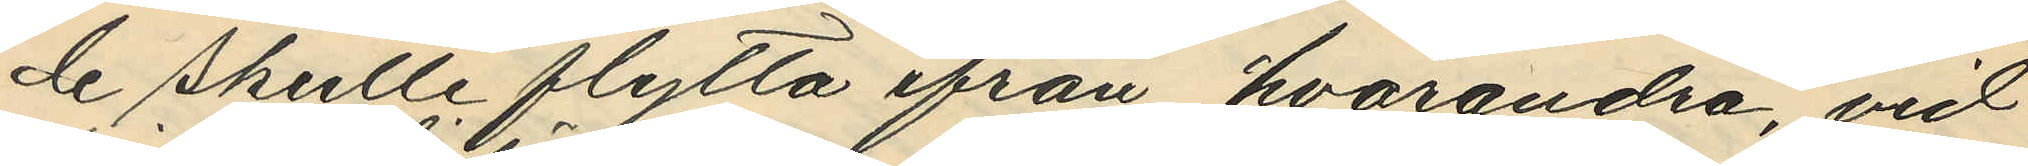de skulle flytta ifrån hvarandra, vid
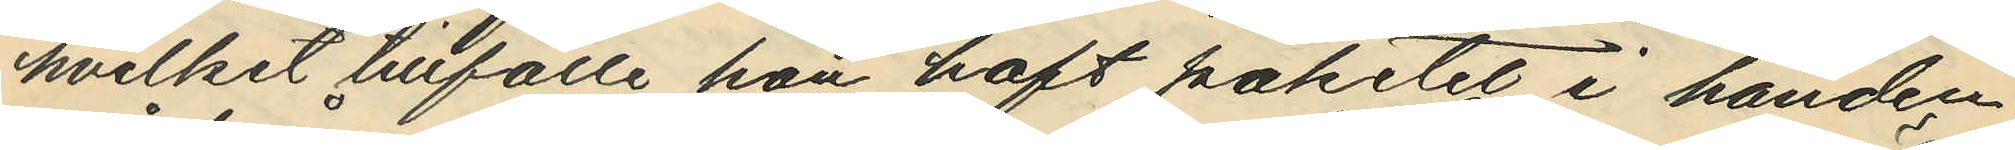hvilket tillfälle han haft paketet i handen
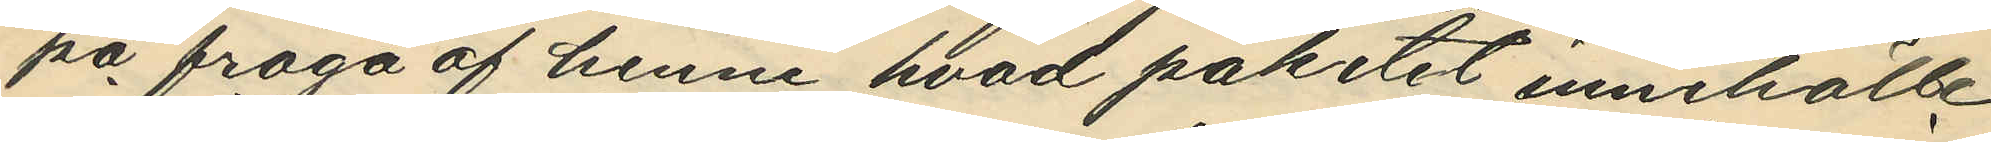på fråga af henne hvad paketet innehöll
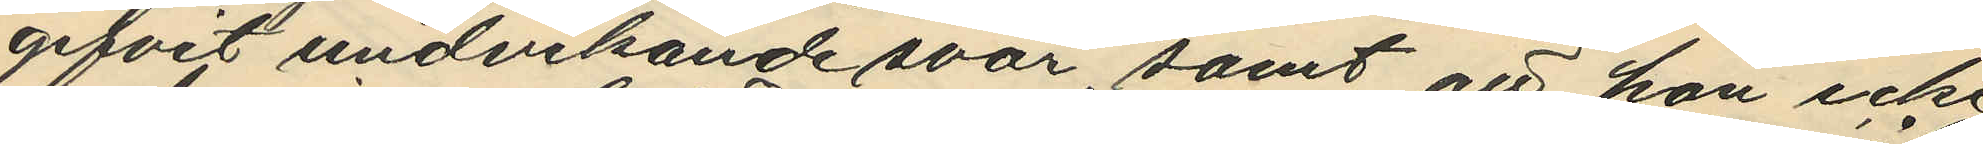gifvit undvikande svar, samt att hon icke
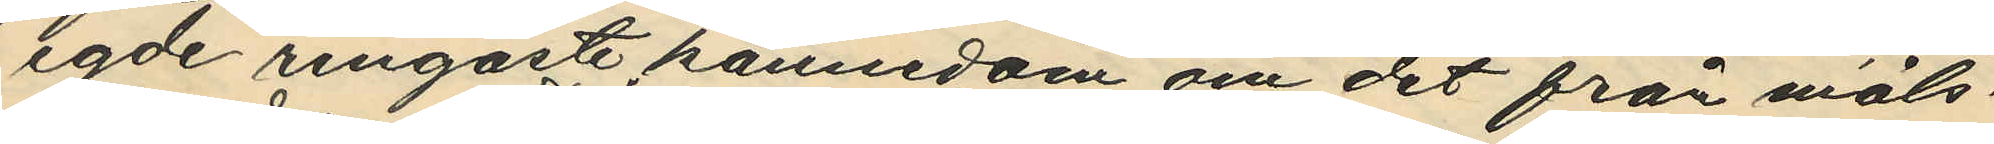egde ringaste kännedom om det från måls¬
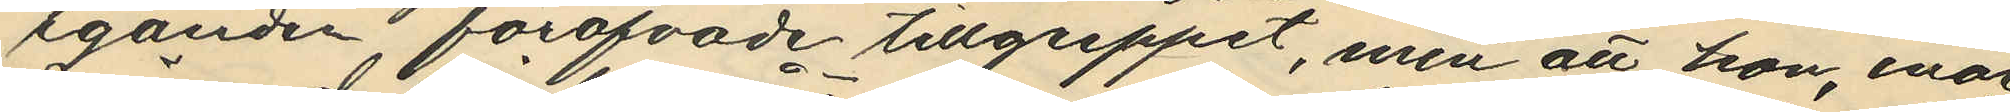eganden föröfvade tillgreppet, men att hon, enär
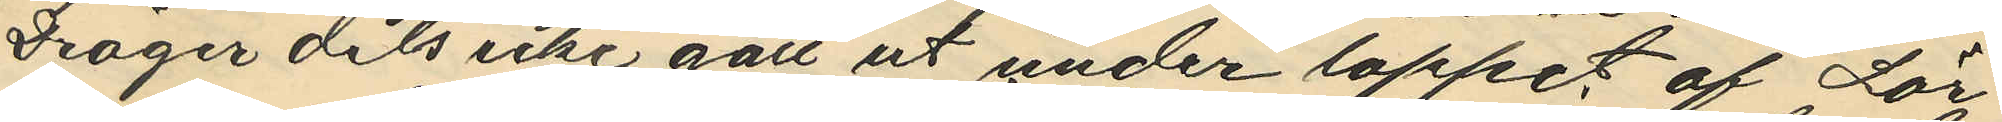Dröger dels icke gått ut under loppet af Lör¬
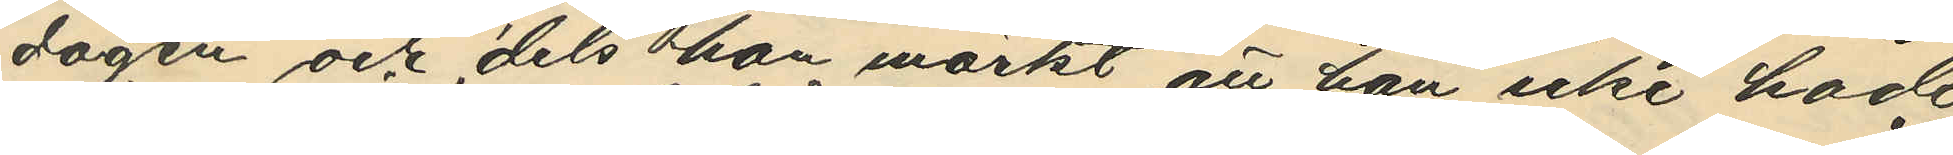dagen och dels hon märkt att han icke hade
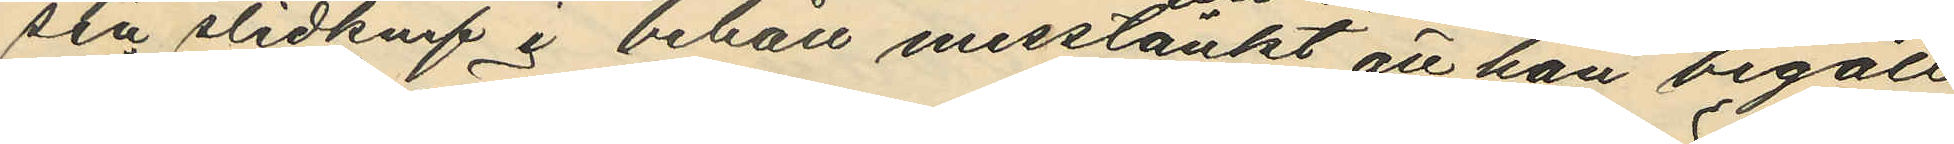sin slidknif i behåll misstänkt att han begått
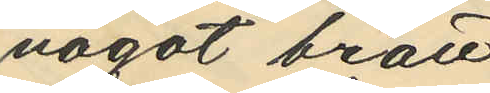något brott.
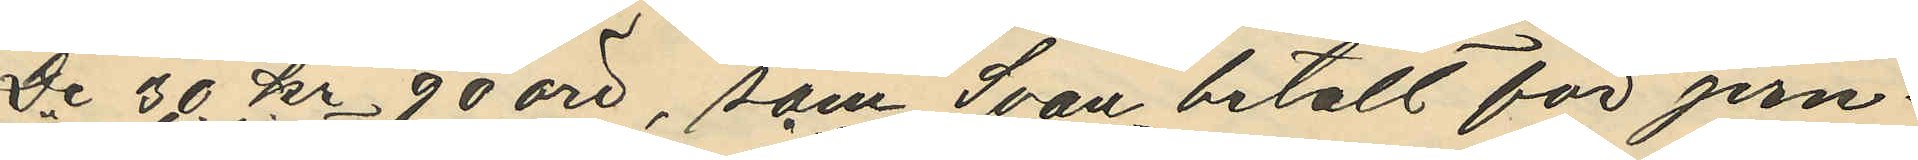De 30 kr 90 öre, som Svan betalt för jern¬
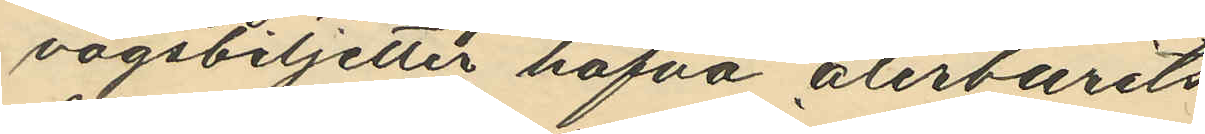vägsbiljetter hafva återburits.
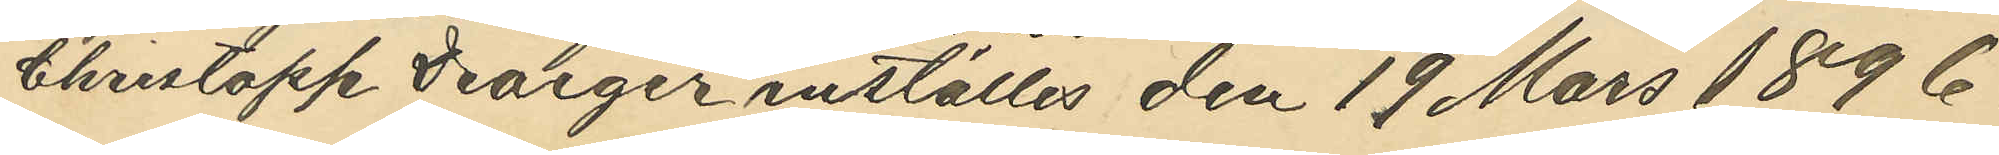Christopp Draeger inställes den 19 Mars 1896.
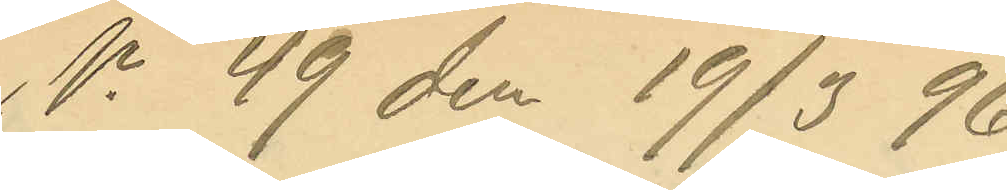No 49 den 19/3 96.
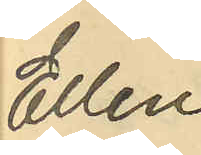Ellen
